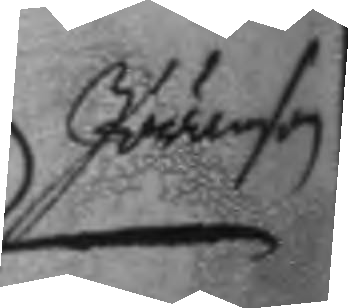Jöranson
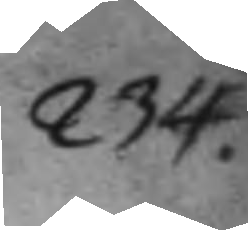234.
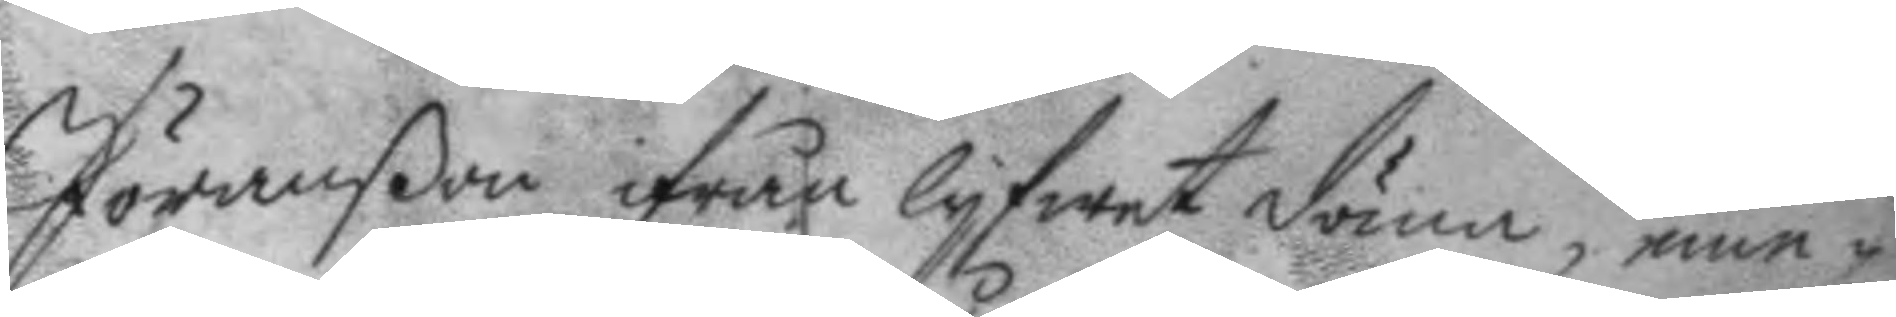Jöranßon ifrån lyfwet döma, eme¬
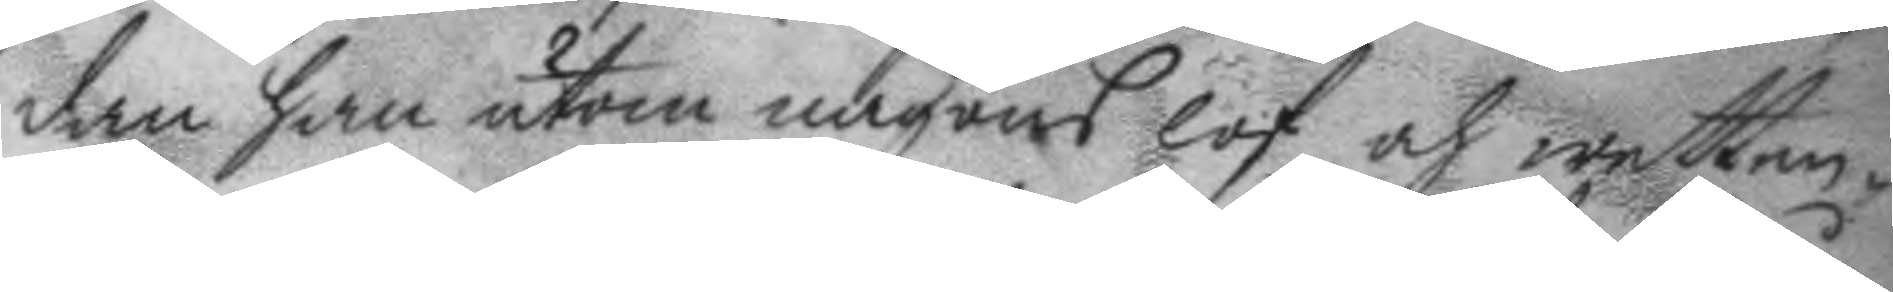dan han utan någons lof och wetten¬
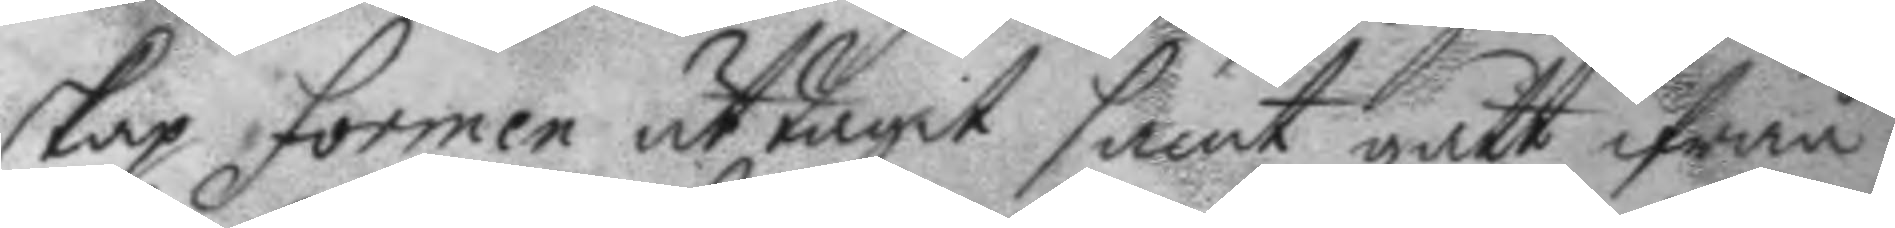skap formen uttagit samt gått ifrån
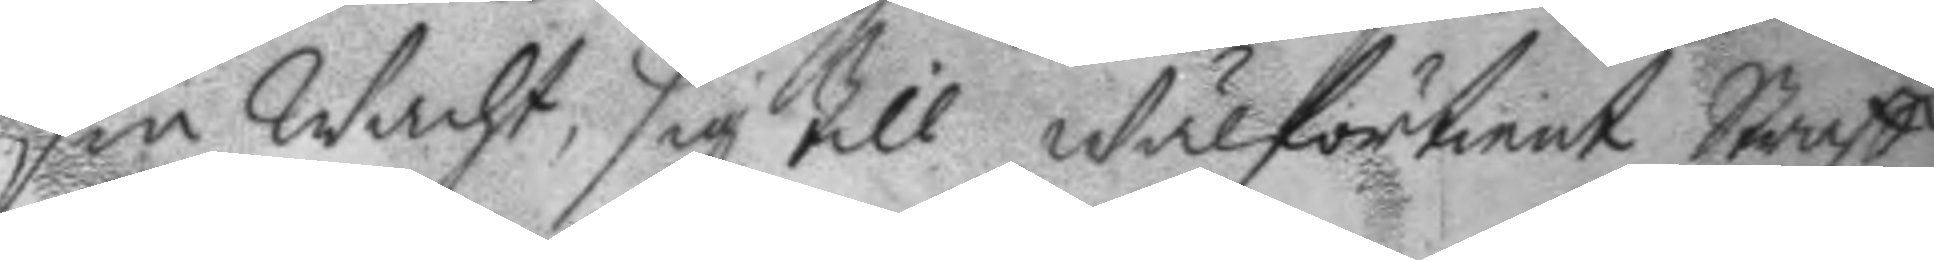sin Wacht, sig till Wälförtient Straff
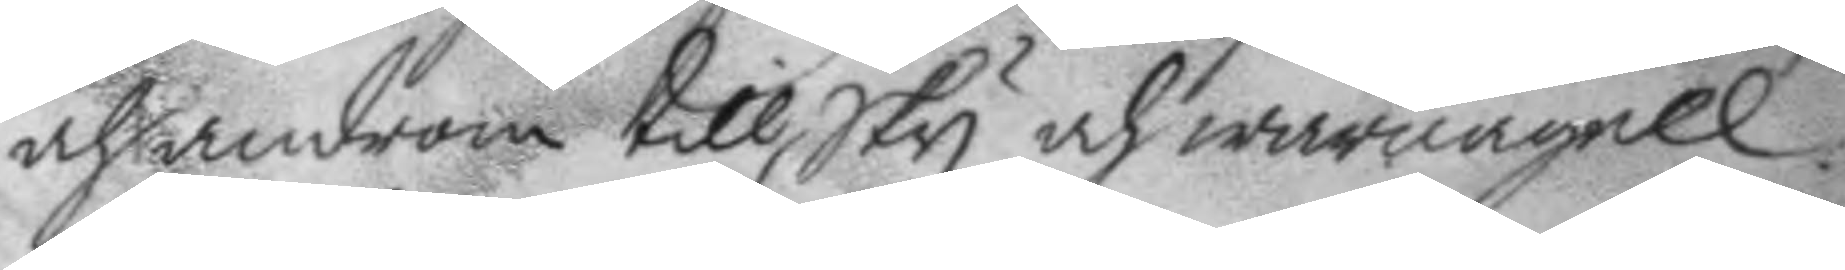och androm till Sky och warnagell.
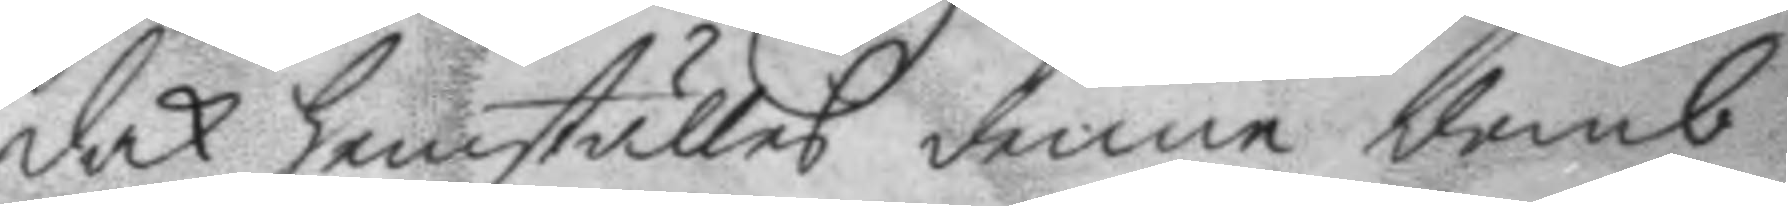dock hemställes denne domb
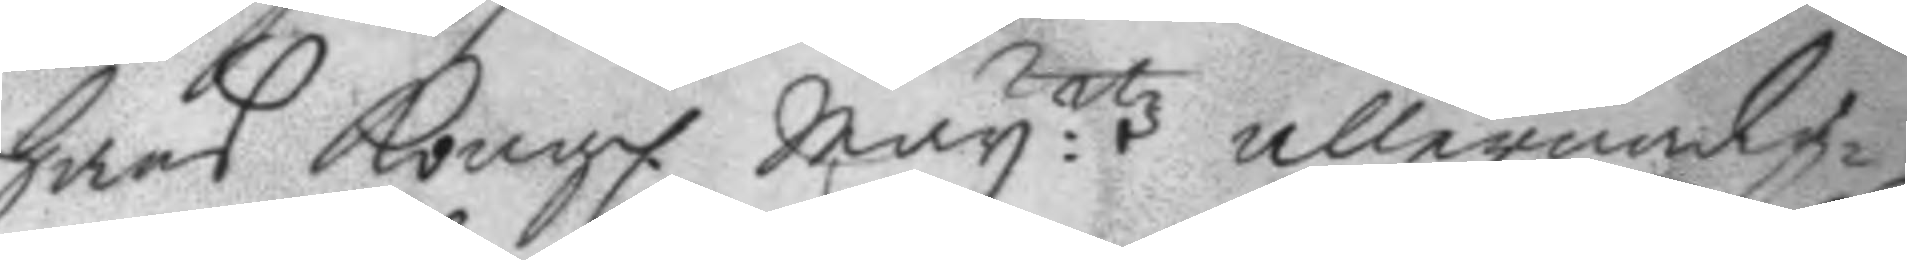hans Kongl. May.ttz allernådig¬
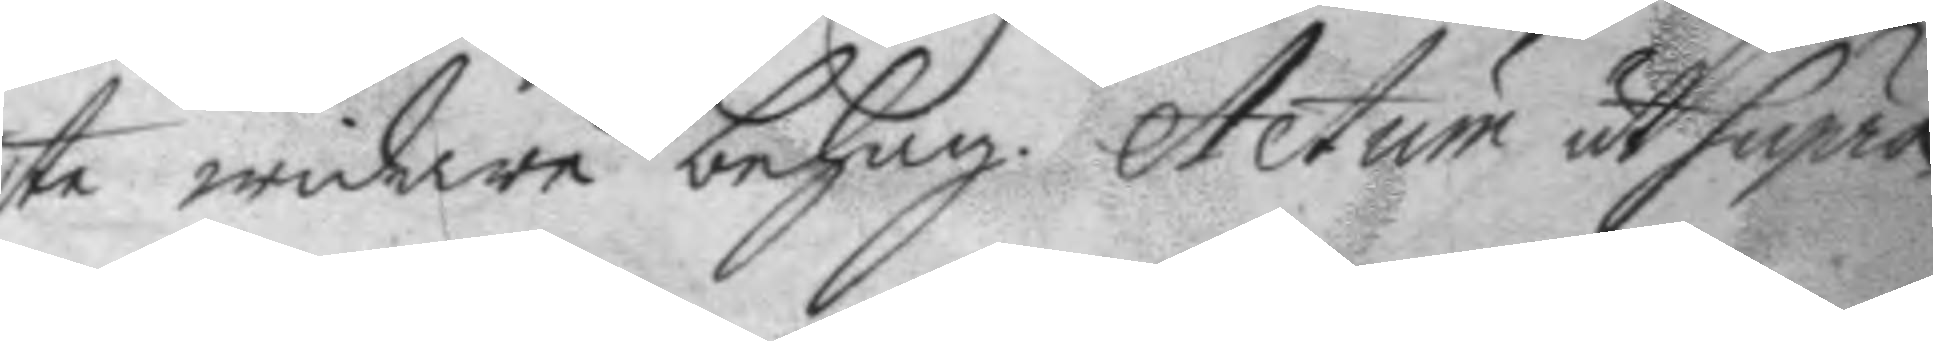ste widare behag. Actum ut Supra.
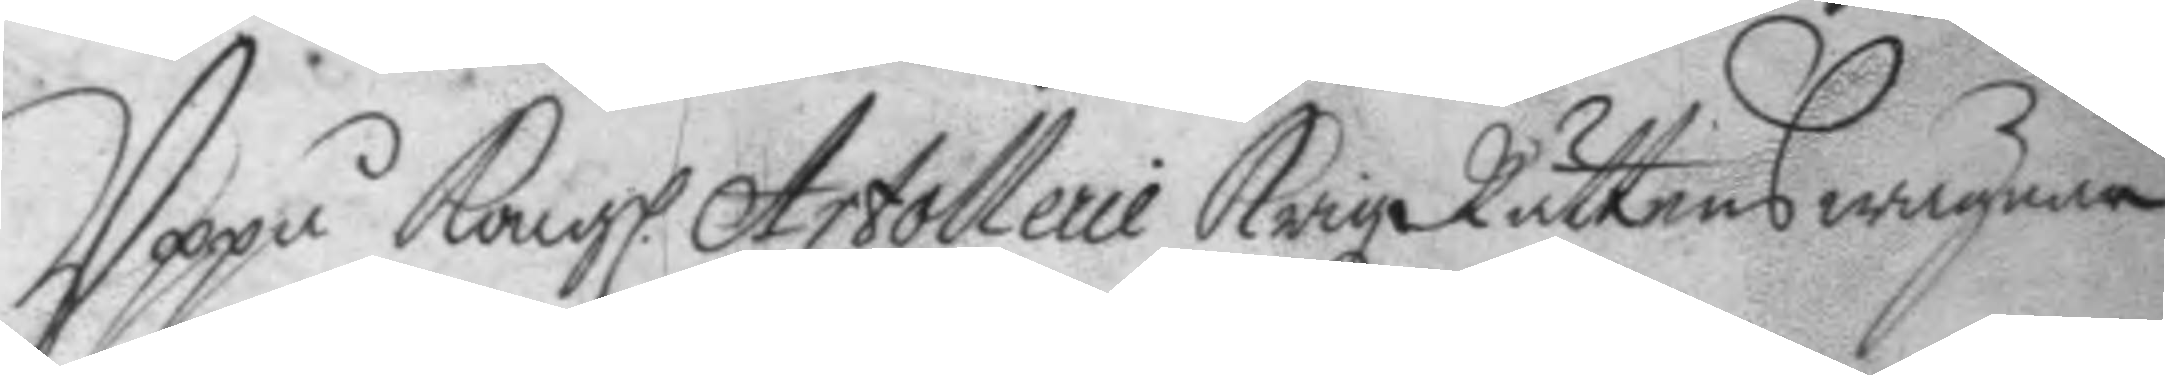Uppå Kongl. Artollerie Krigz Rättens wägnar
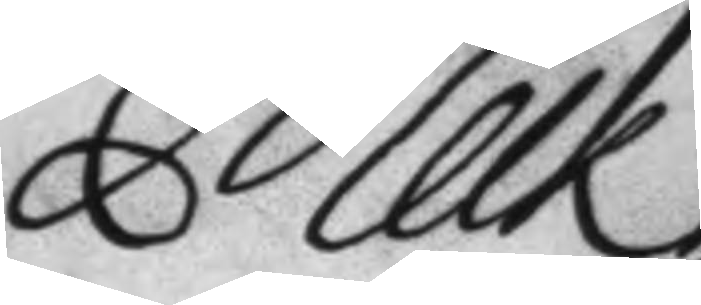Melk
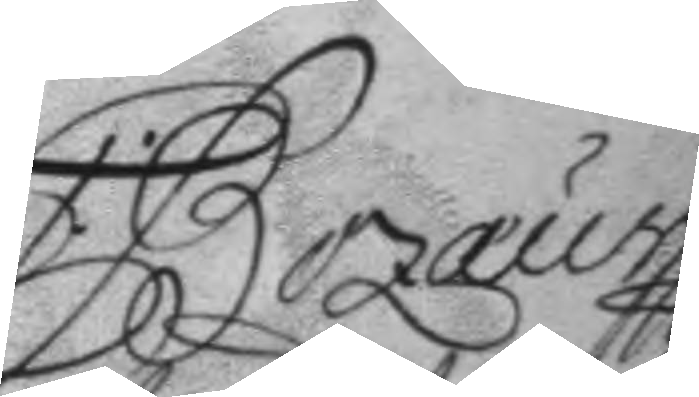C Bozæus
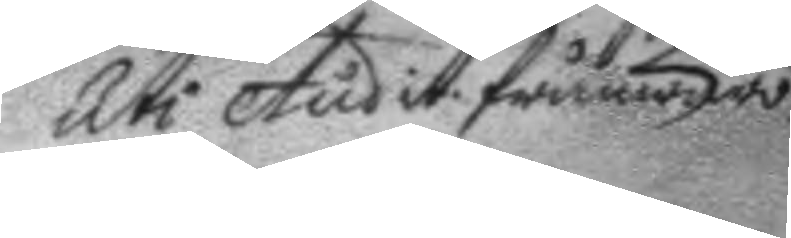Uti Audit. frånwaro
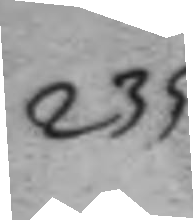235
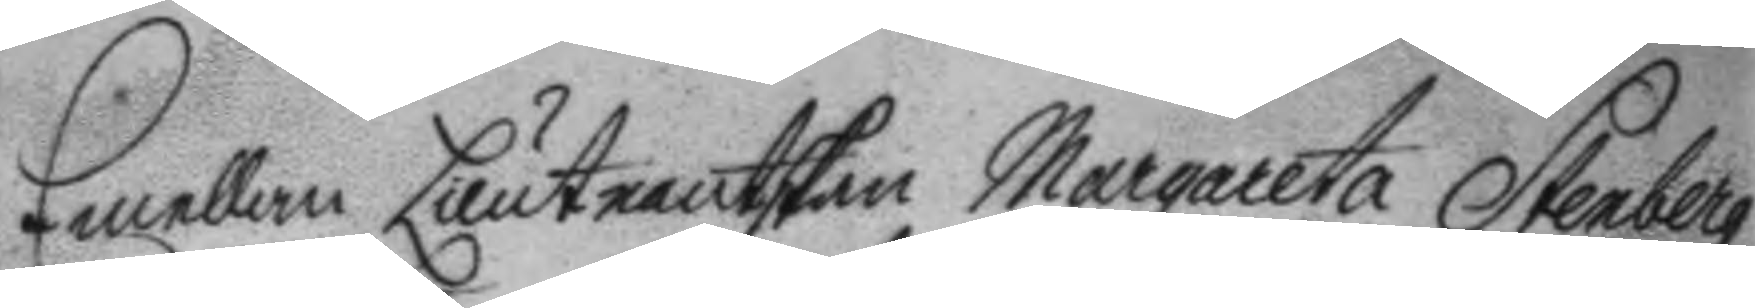Emellan Lieutnantskan Margareta Stenberg
